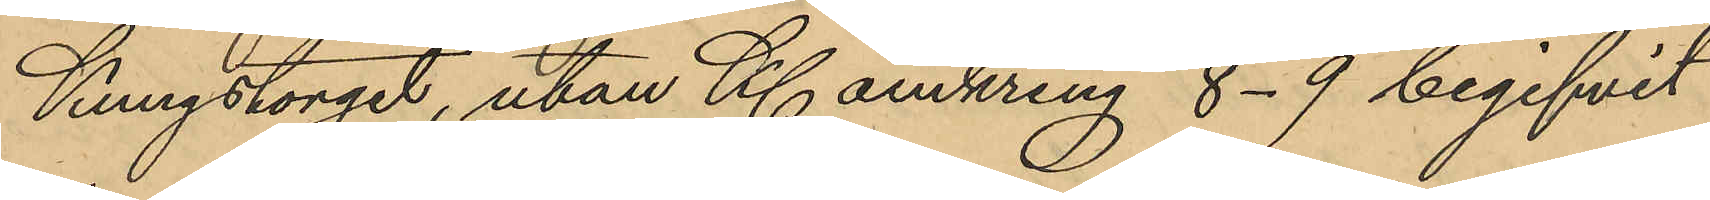Kungstorget, utan Kl. omkring 8-9 begifvit
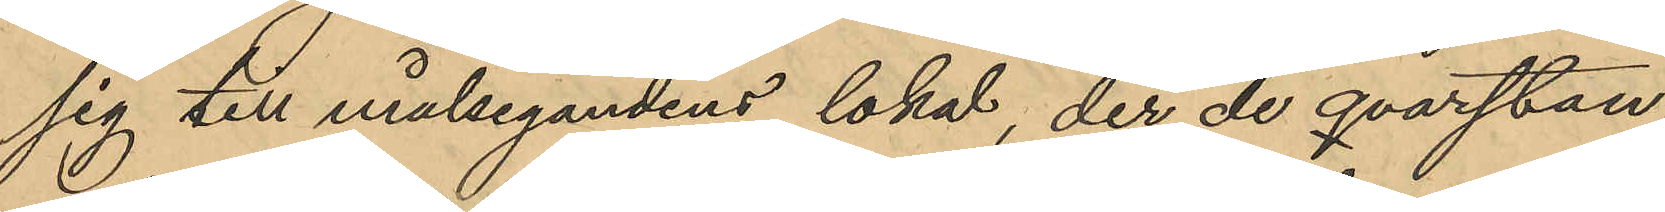sig till målsegandens lokal, der de qvarstan¬
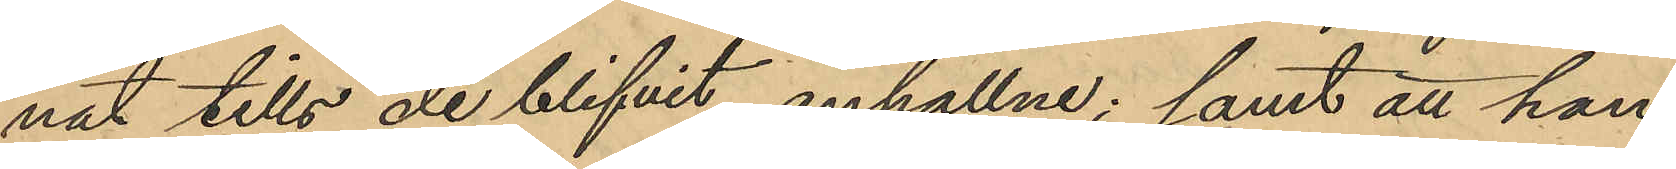nat tills de blifvit anhållne; samt att han
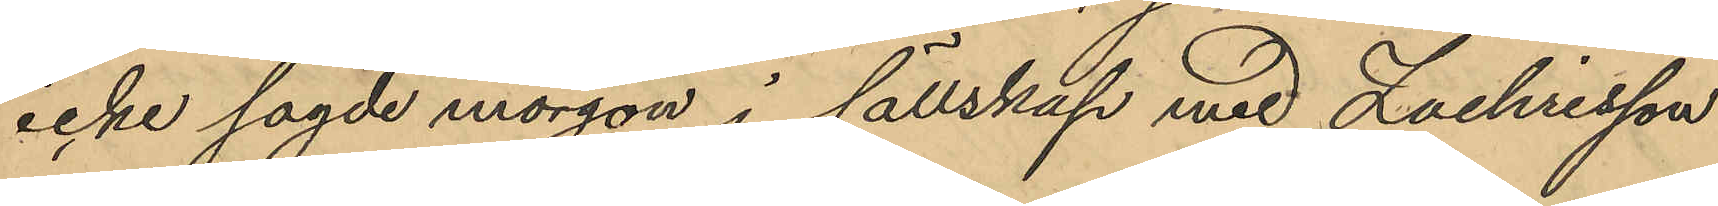icke sagde morgon i sällskap med Zachrisson
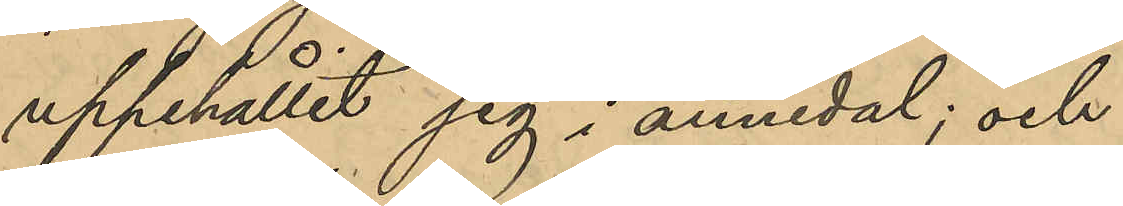uppehållit sig i annedal; och
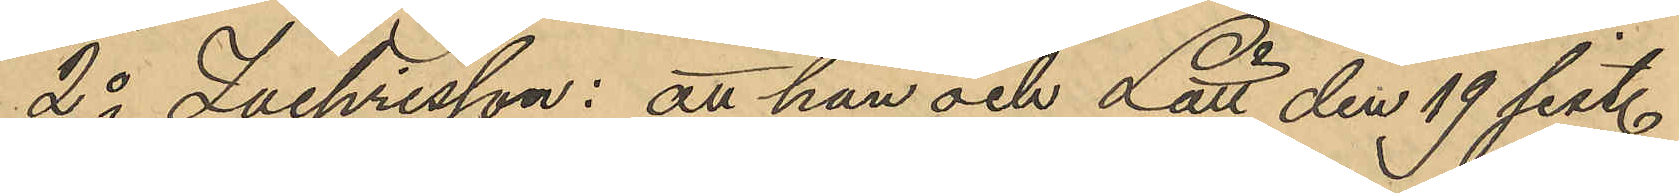2o Zachrisson: att han och Lätt den 19 sist.
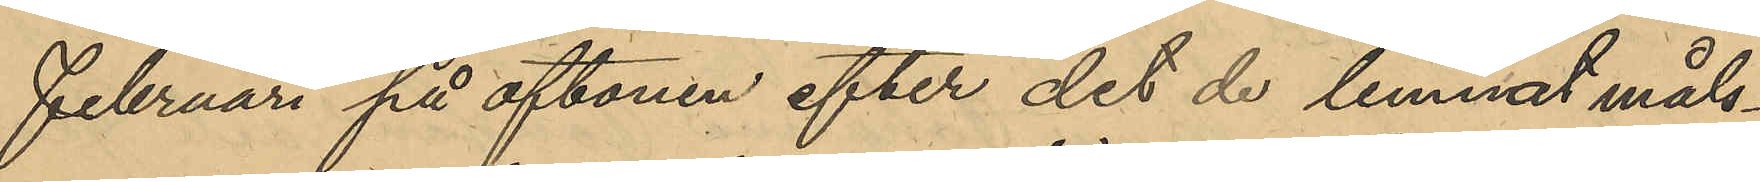Februari på aftonen efter det de lemnat måls¬
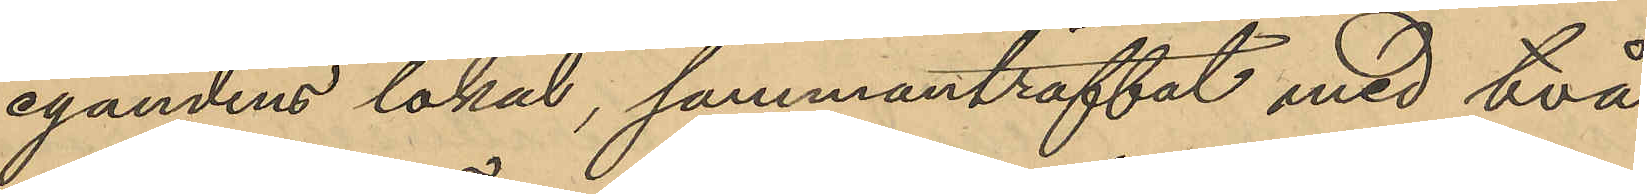egandens lokal, sammanträffat med två
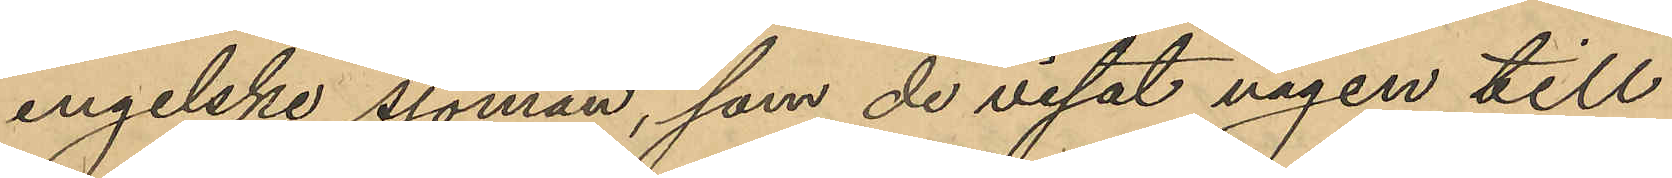engelske sjöman, som de visat vägen till
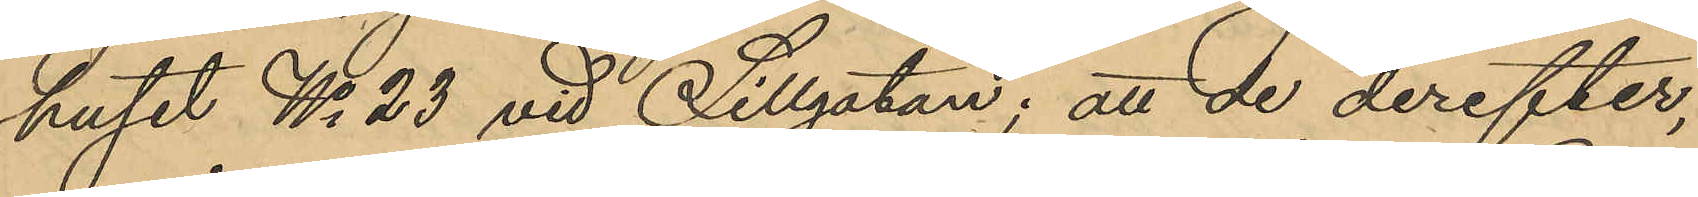huset No 23 vid Sillgatan; att de derefter,
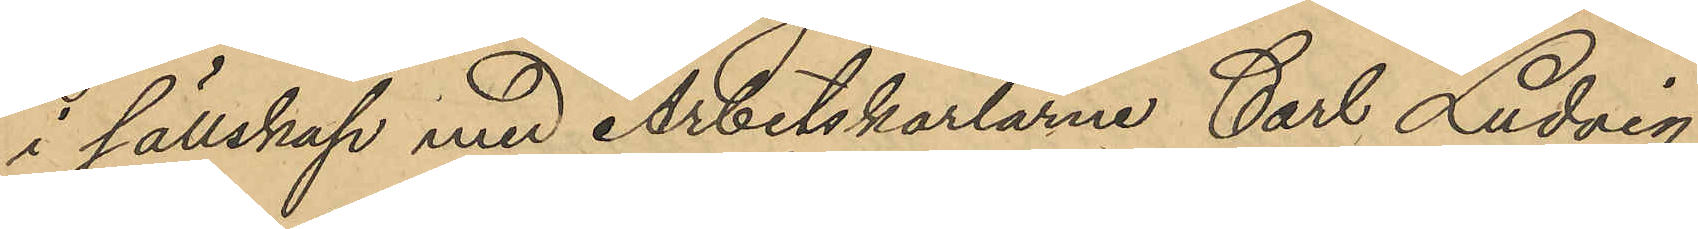i sällskap med Arbetskarlarne Carl Ludvig
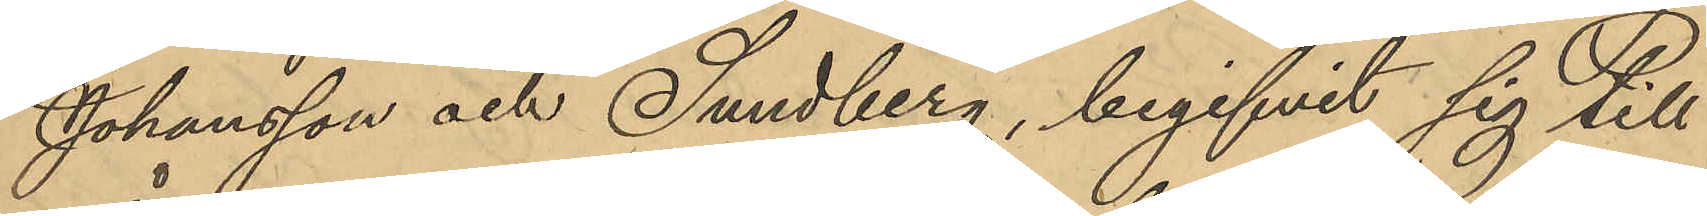Johansson och Sundberg, begifvit sig till
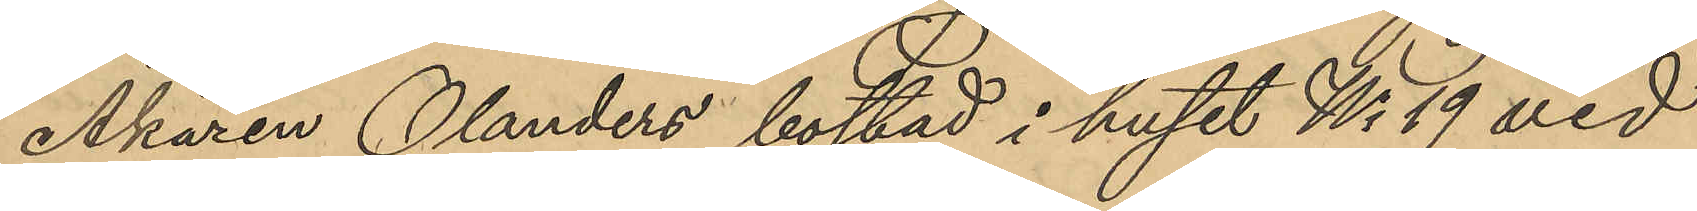Åkaren Olanders bostad i huset No 19 vid
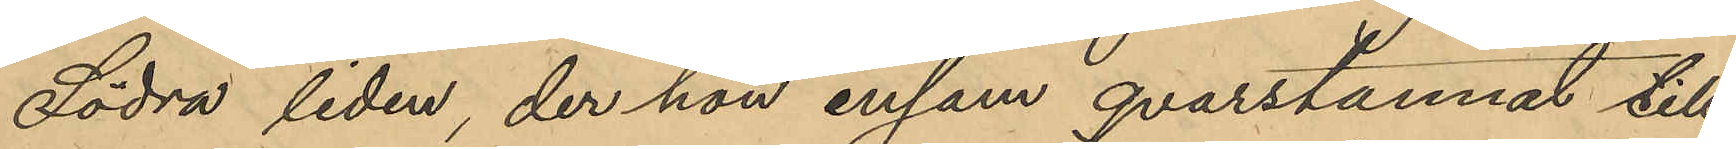Södra liden, der han ensam qvarstannat till
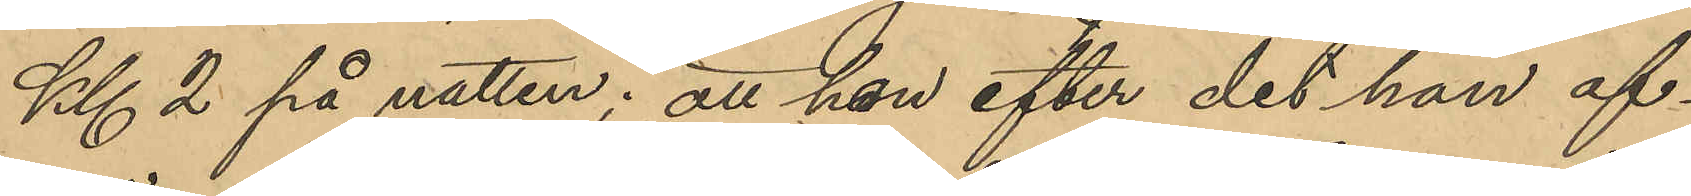Kl 2 på natten; att han efter det han af¬
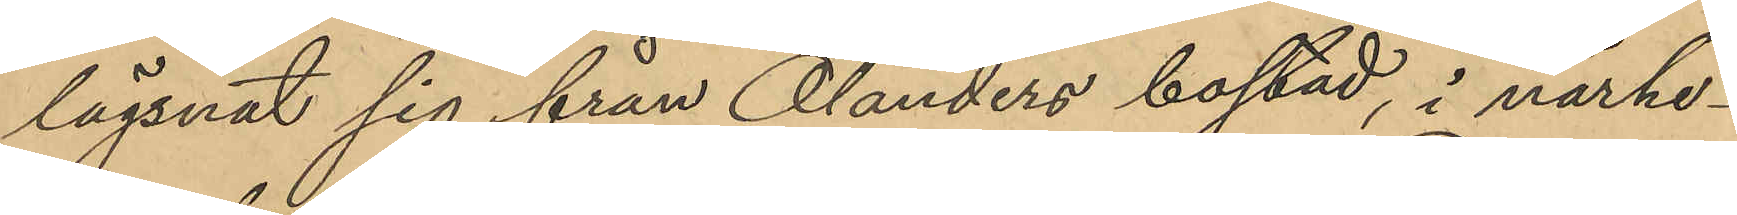lägsnat sig från Olanders bostad, i närhe¬
